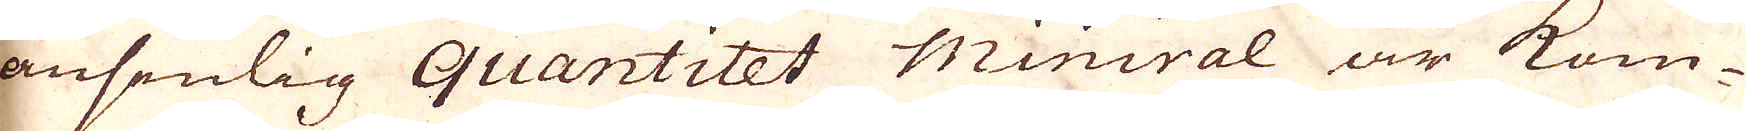ansenlig quantitet miniral är kom-
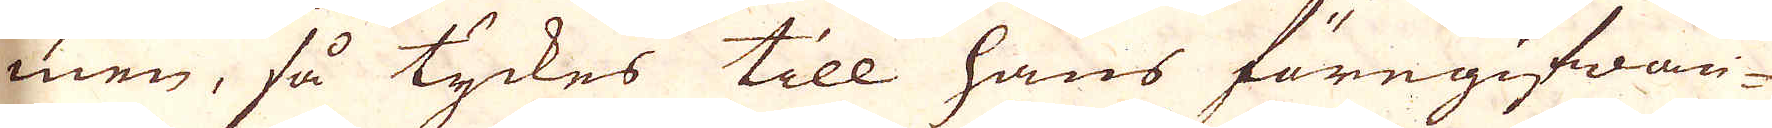men, så tyckes till hans föregifwan-
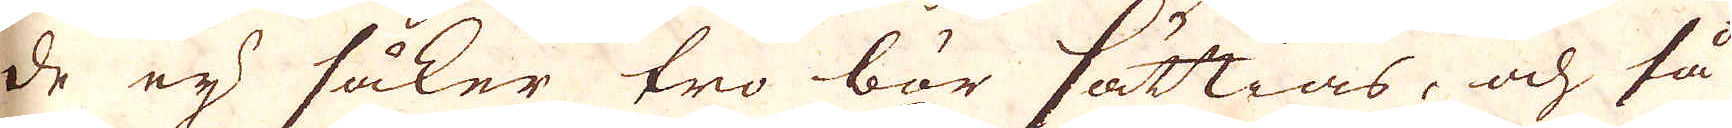de eij säker tro bör sättias, och så
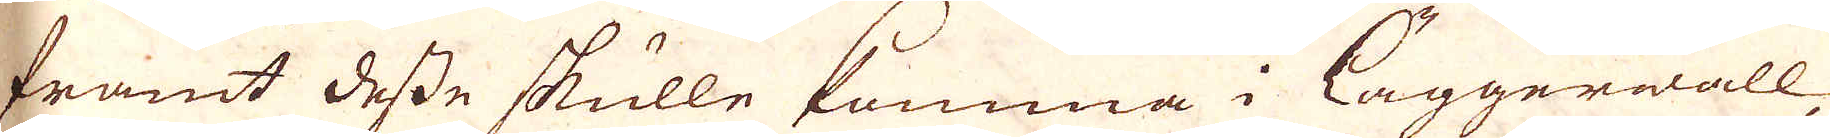framt desse skulle komma i läggerwall,
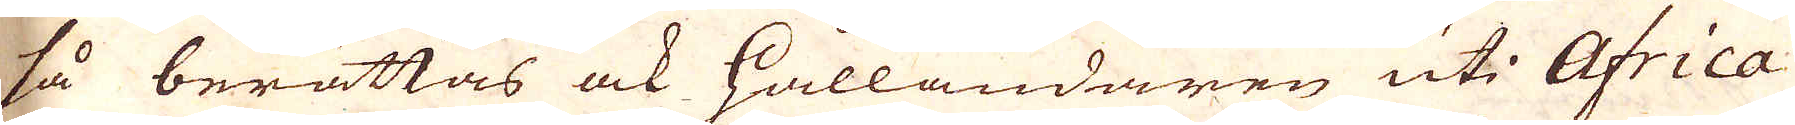så berättas ock Hålländaren uti Africa
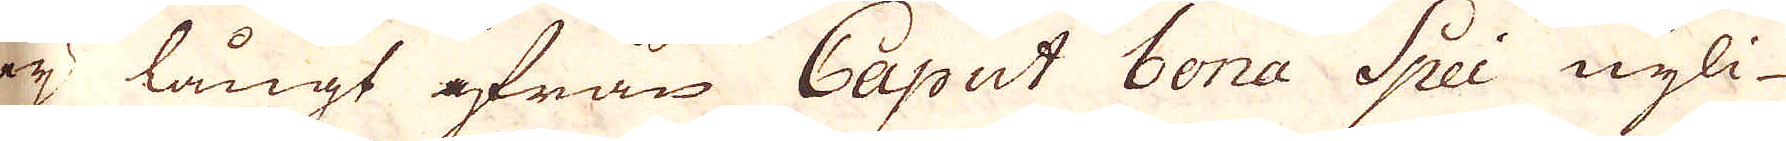eij långt ifrån Caput bona Spei nyli-
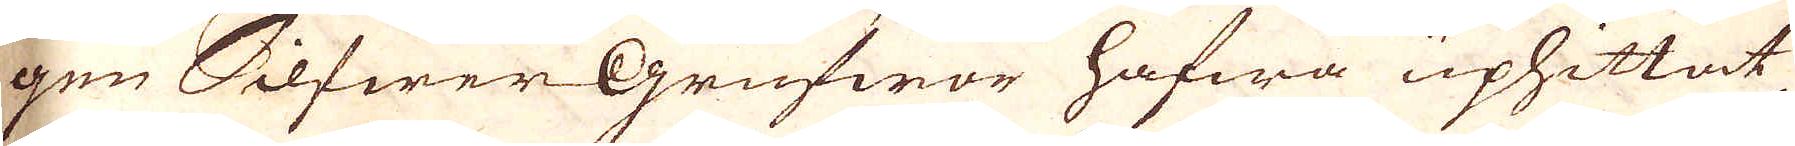gen Silfwer Grufwor hafwa uphittat,
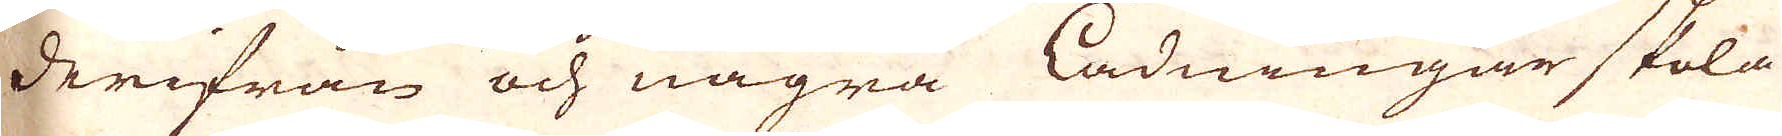derifrån och några Ladningar skola
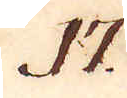17.
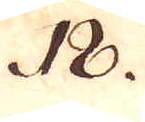18.
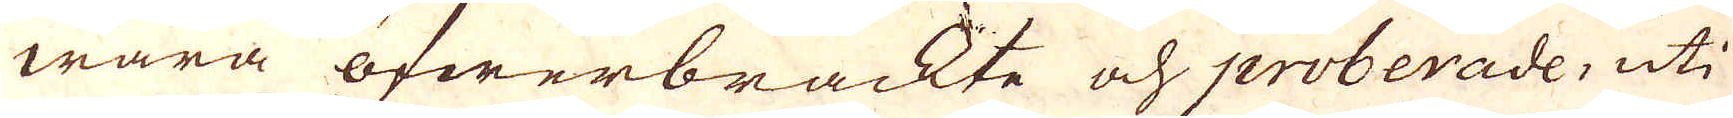wara öfwerbrackte och proberade, uti
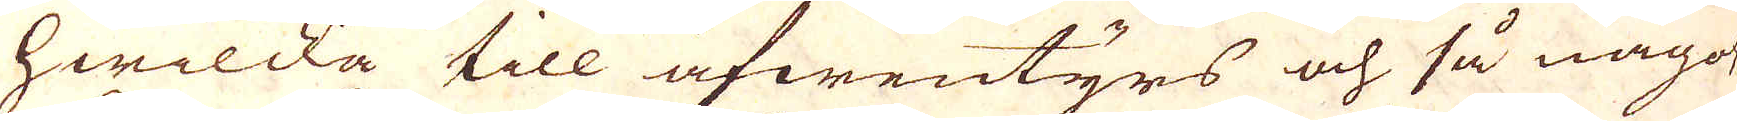hwilcka till äfwentyrs och så något
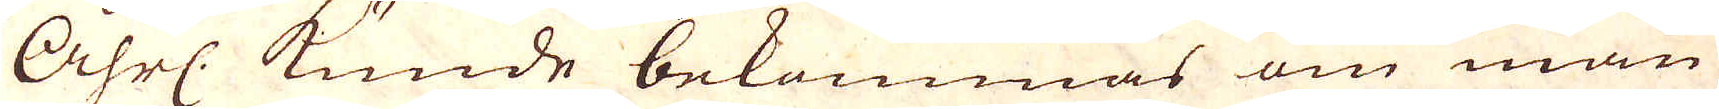Åhrl. kunde bekommas om man
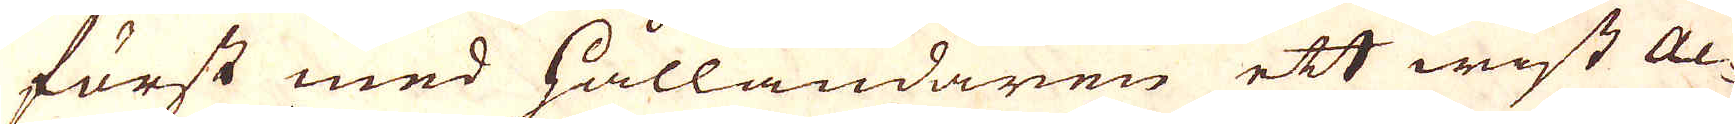först med Hålländaren ett wist Ac-
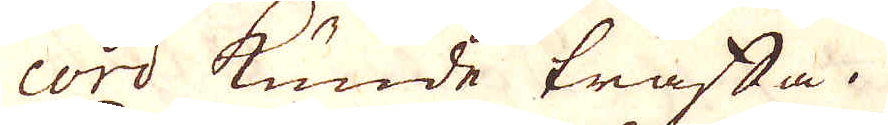cord kunde träffa.
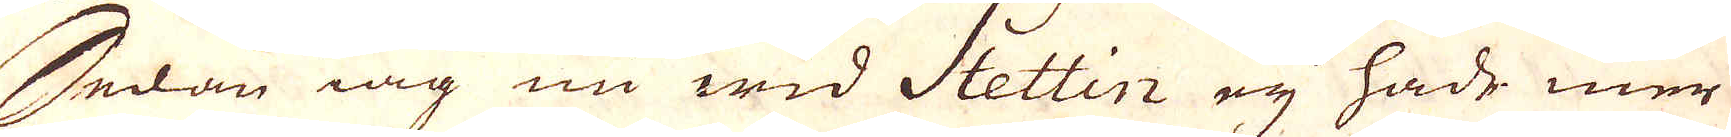Sedan iag nu wid Stettin eij hade mer
